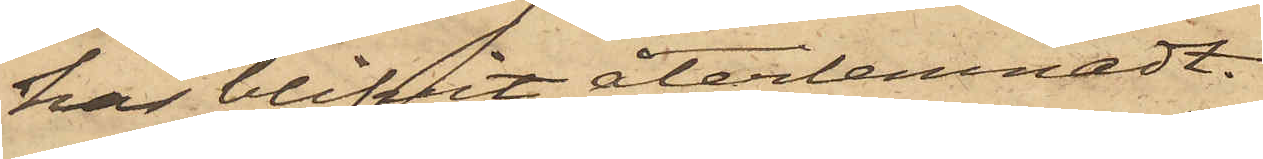har blifvit återlemnadt.
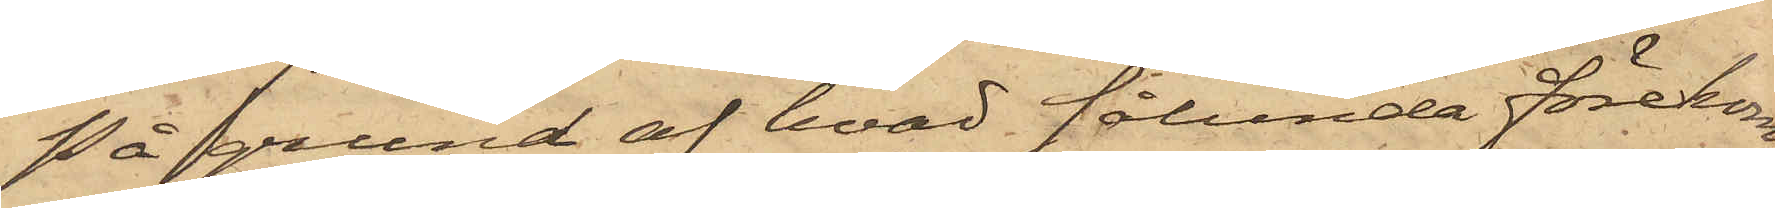På grund af hvad sålunda förekom¬
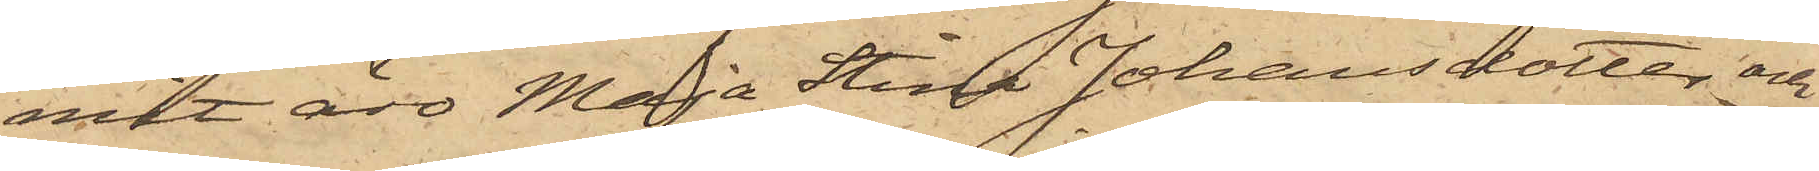mit äro Maja Stina Johansdotter och
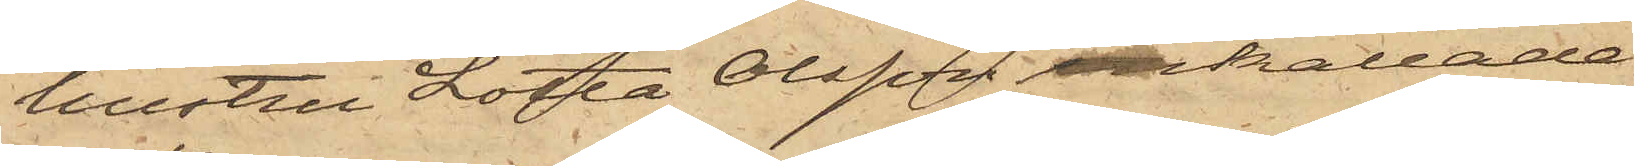hustru Lotta Olsson inkallade
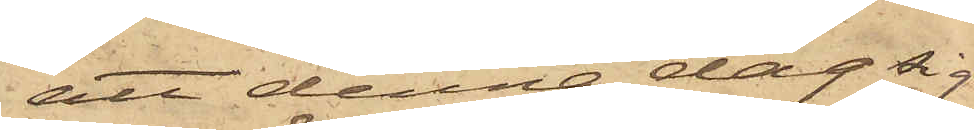att denna dag sig
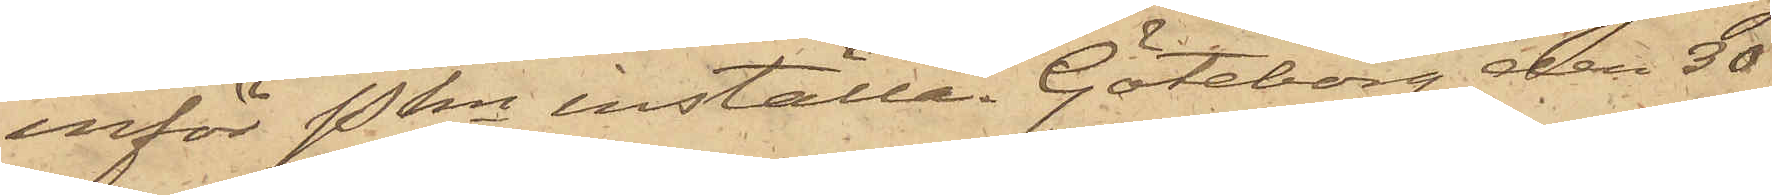inför Pkn inställa. Göteborg den 30
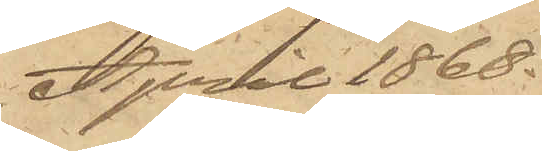April 1868.
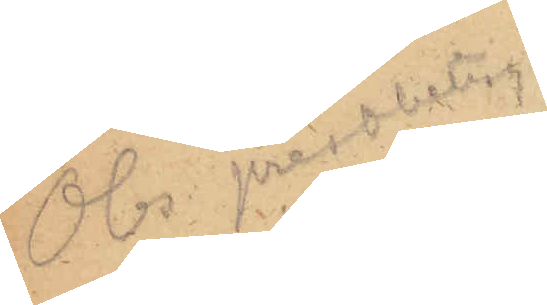Obs prestbetyg
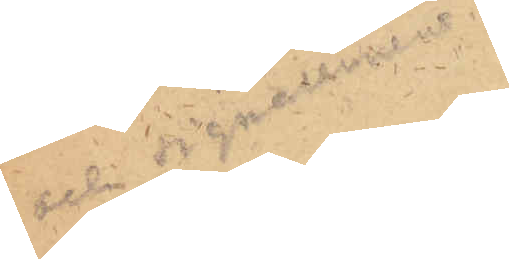 och signalement
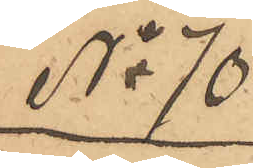No 70
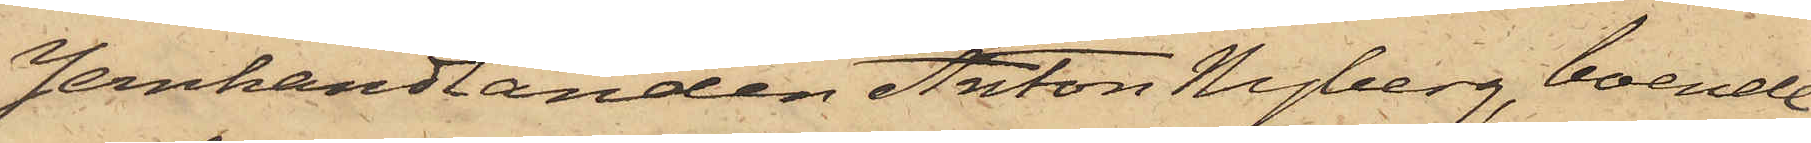Jernhandlanden Anton Nyberg, boende
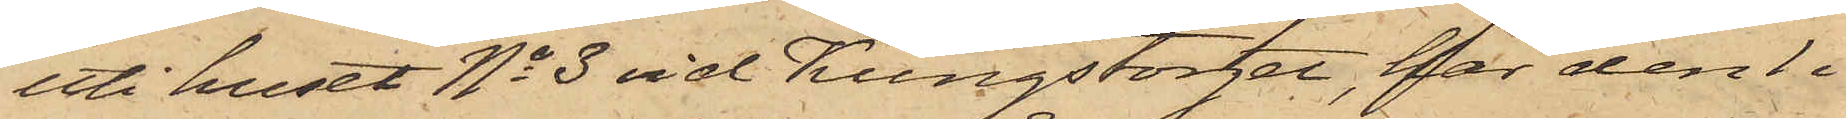uti huset No 3 vid Kungstorget, har den 1 i
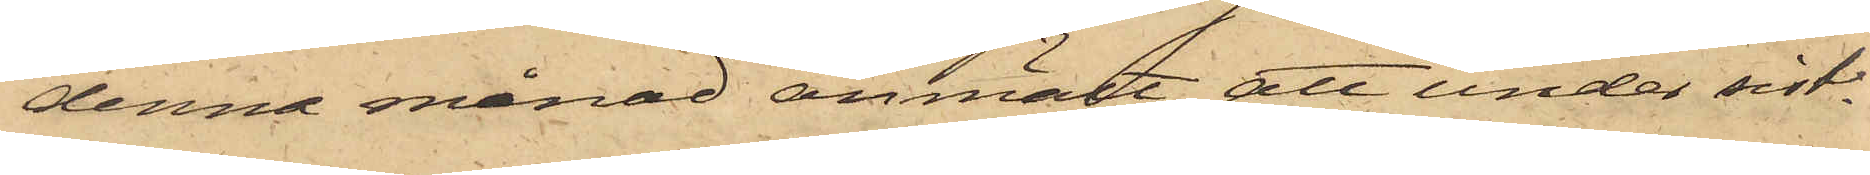denna månad anmält att, under sist¬
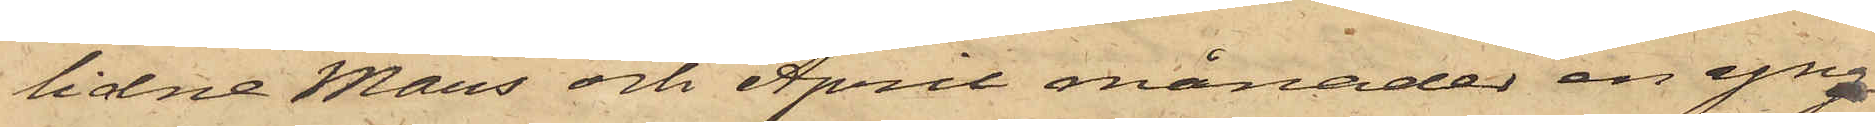lidne Mars och April månader en yng¬
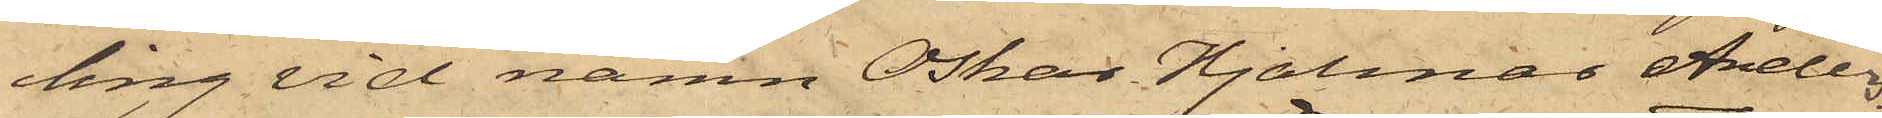ling vid namn Oskar Hjalmar Ander¬
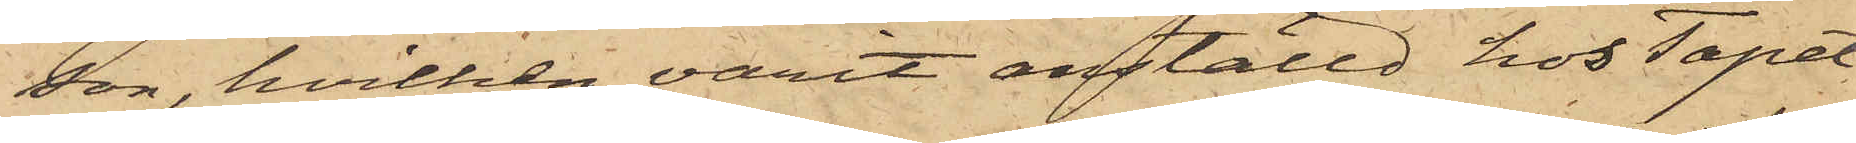son, hvilken varit anställd hos Tapet¬
